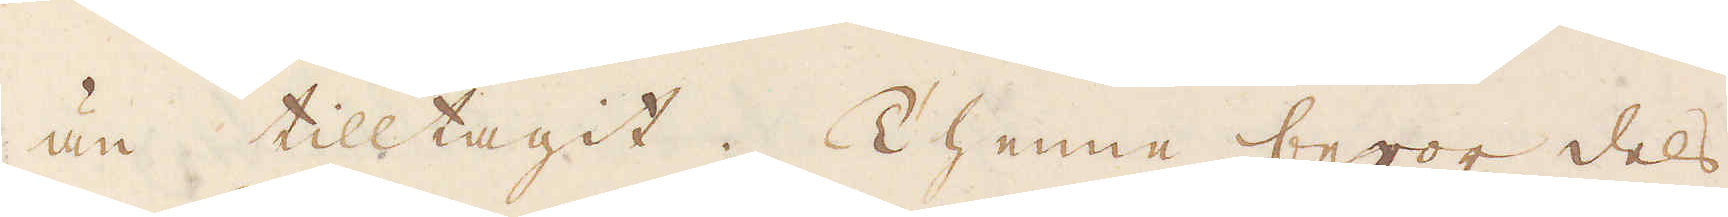än tilltagit. Thenne beror dels
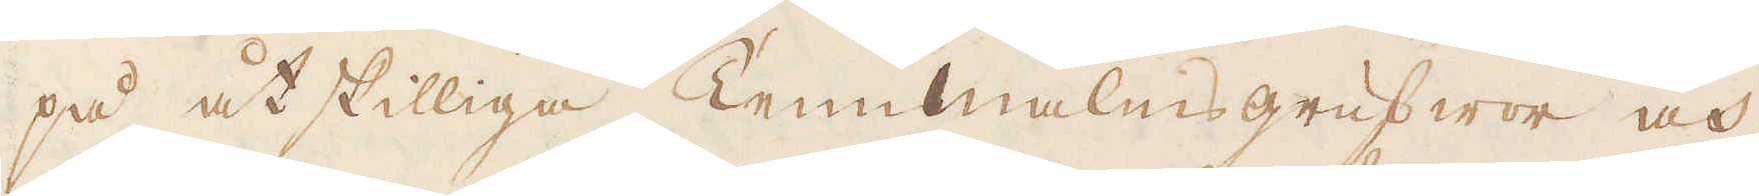på åtskilliga Tennmalms grufwor och
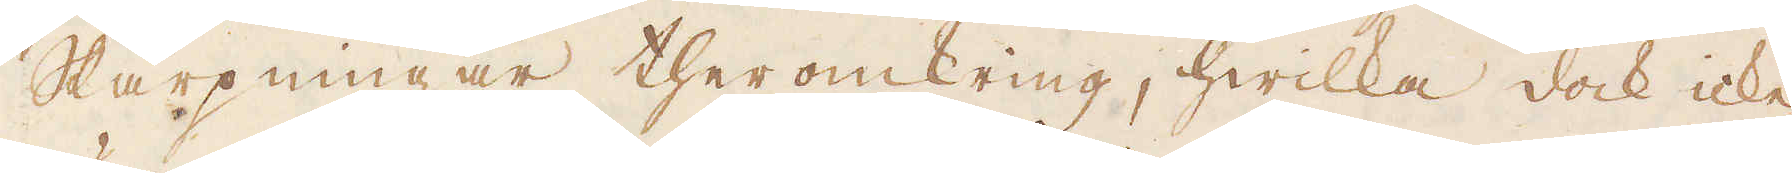Skärpningar theromkring, hwilka dock icke
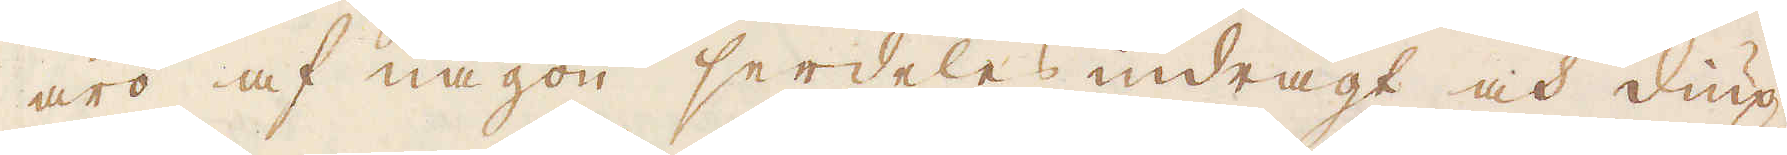äro af någon serdeles indrägt och diup-
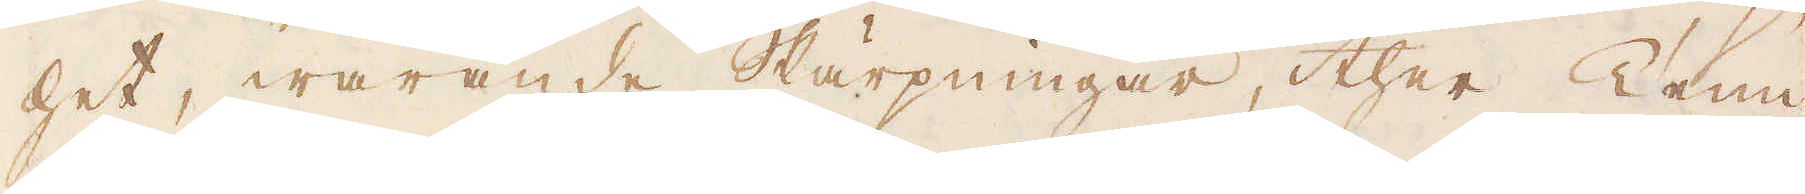het, warande Skärpningar, ther Tenn-
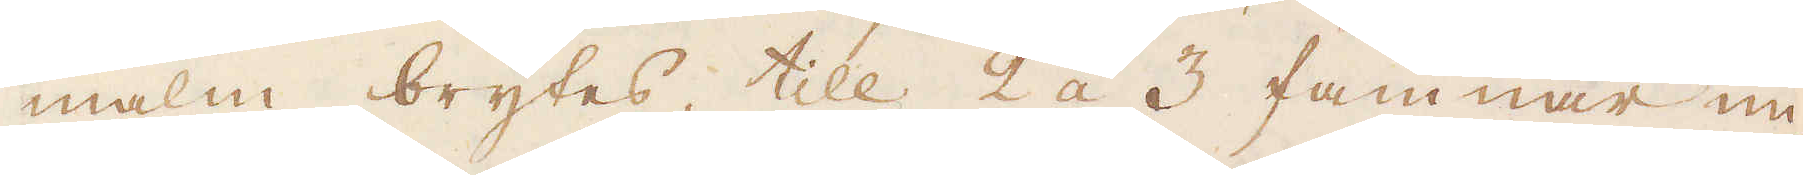malm brytes, till 2 á 3 famnar un-
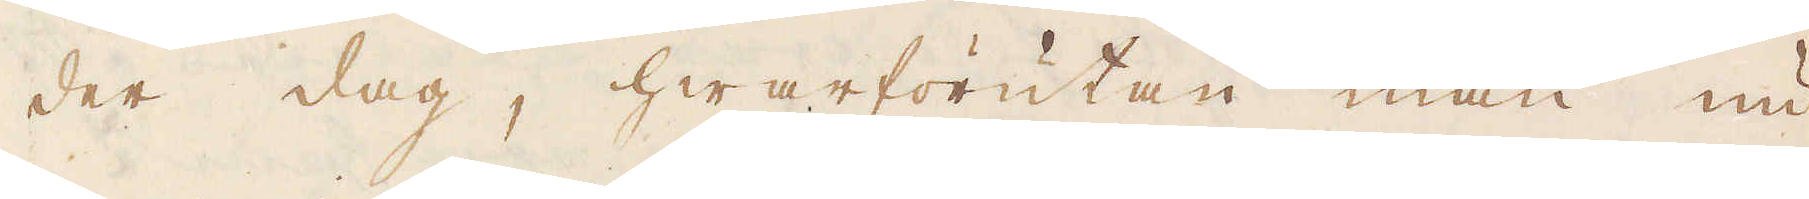der dag, hwarförutan man nu
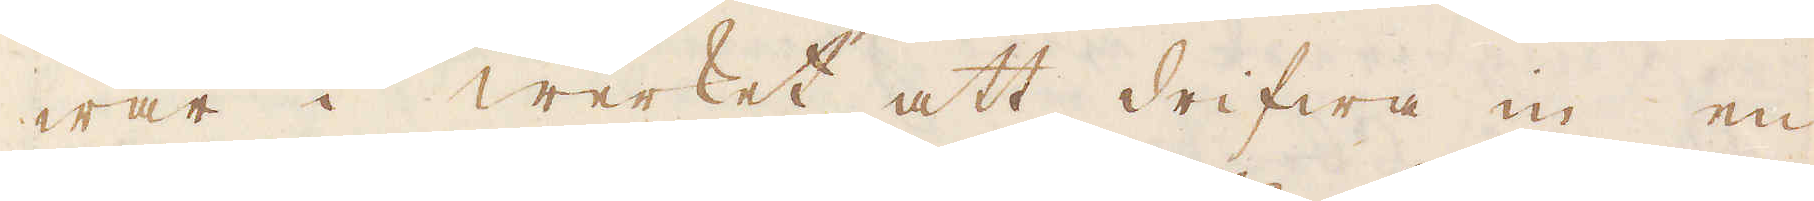war i werket att drifwa in en
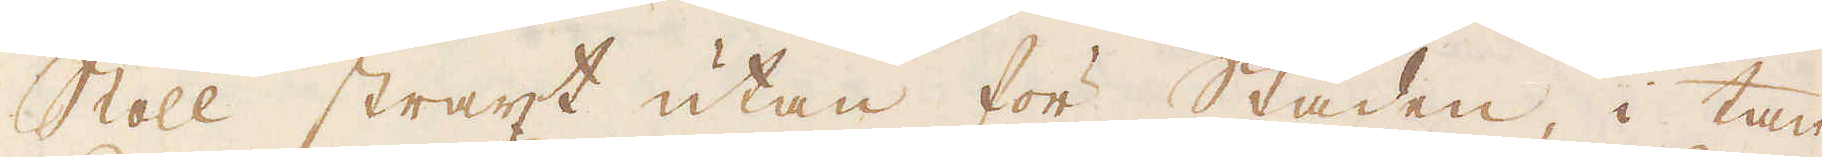Stoll straxt utan för Staden, i tan-
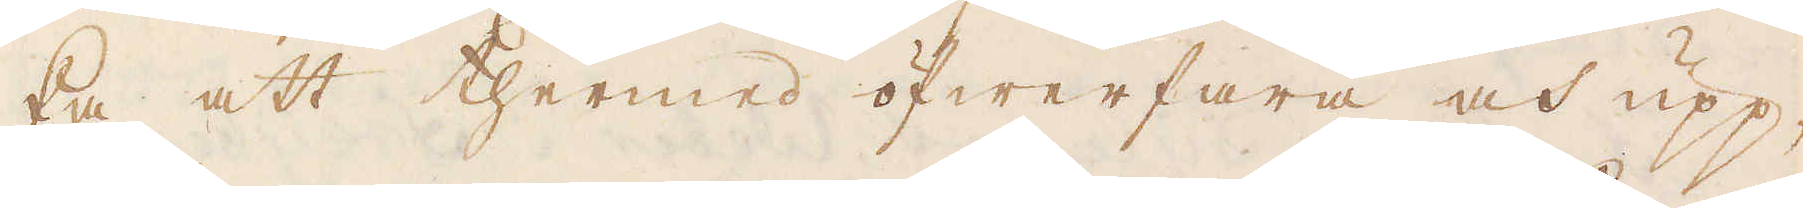ka att thermed öfwerfara och upp-
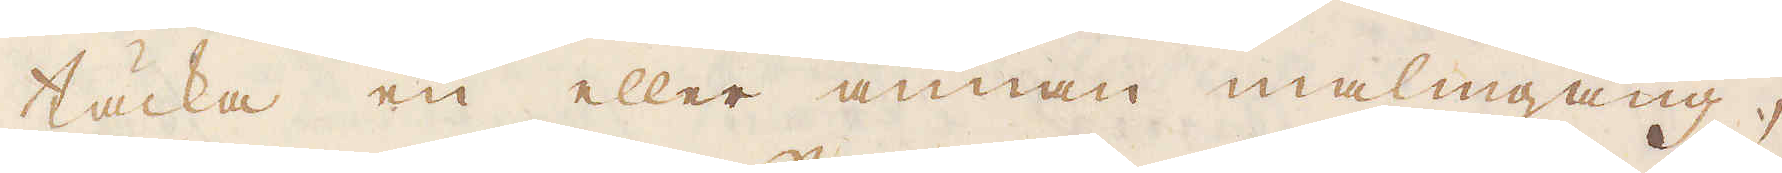täcka en eller annan malmgång,
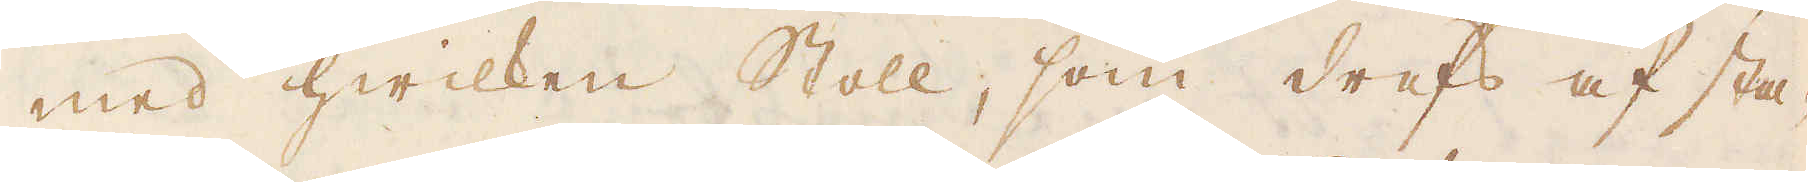med hwilken Stoll, som drefs af sta-
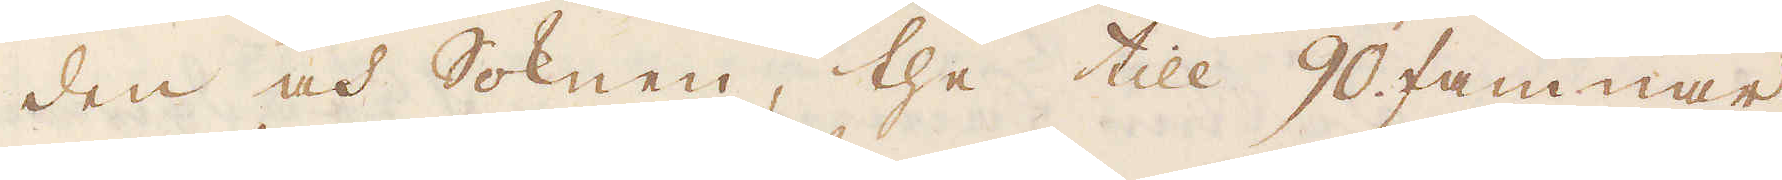den och Soknen, the till 90 famnar
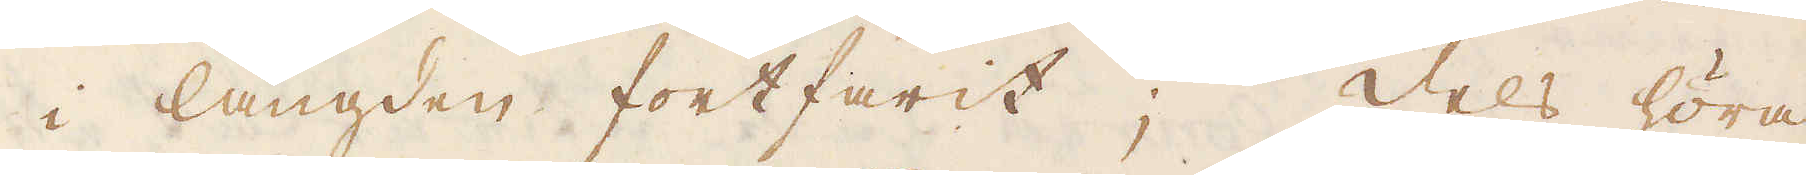i längden fortfarit; dels höra
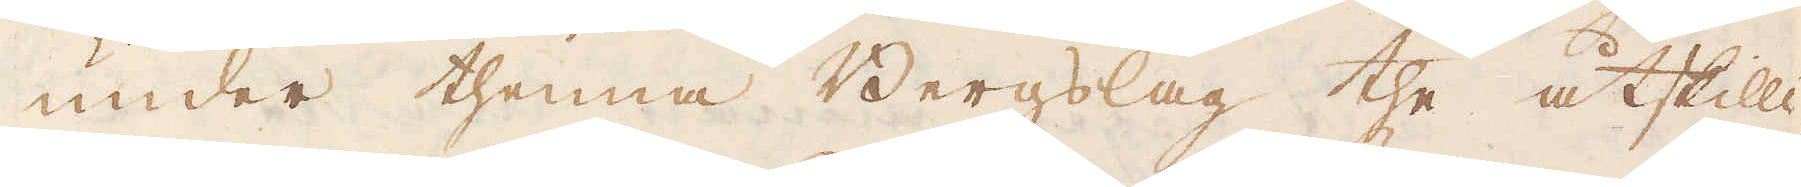under thenna Bergslag the åtskilli-
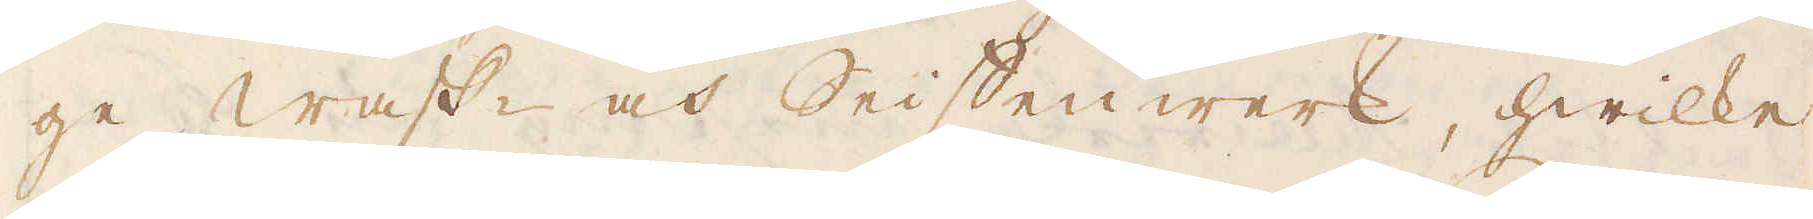ge Wask- och Seiffenwerk, hwilke
